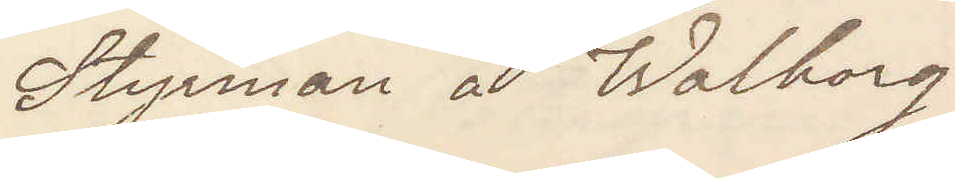Styrman å Walborg
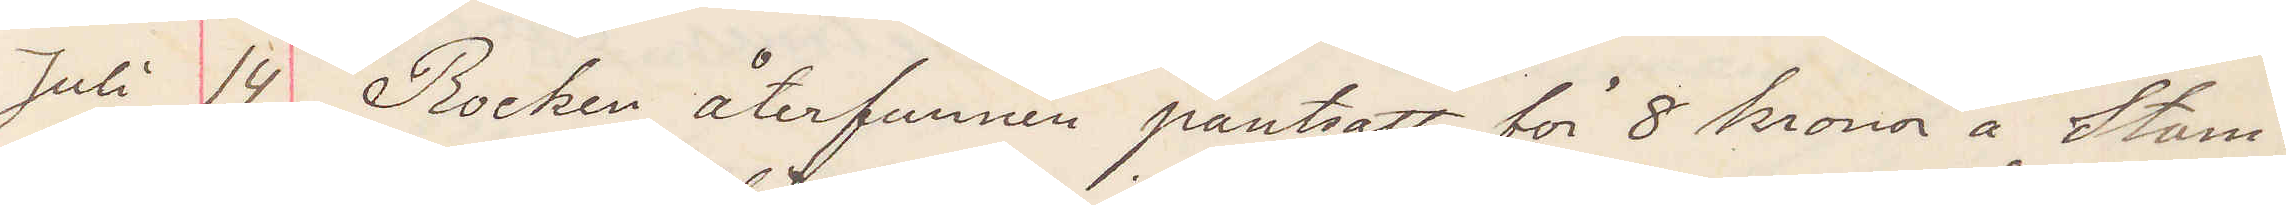Juli 14 Rocken återfunnen pantsatt för 8 kronor å Stam¬
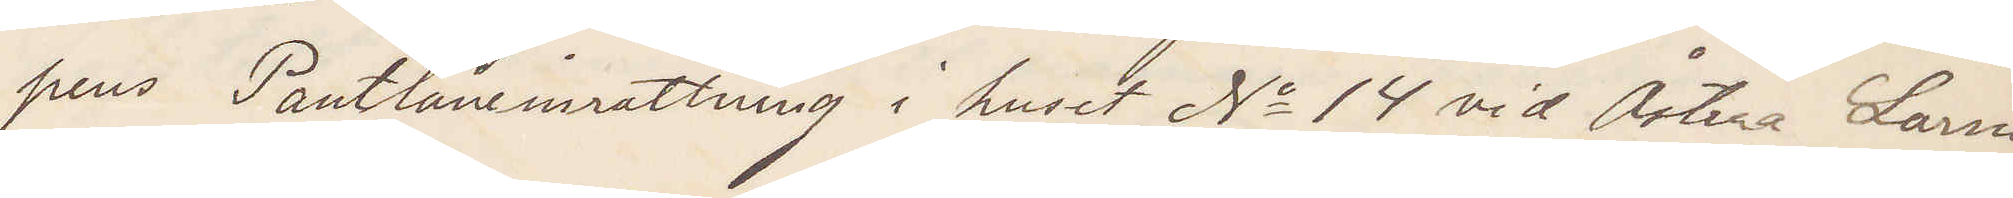pens Pantlåneinrättning i huset No 14 vid Östra Larm¬
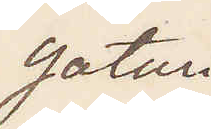gatan
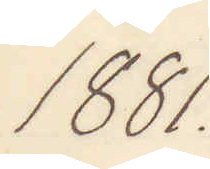1881.
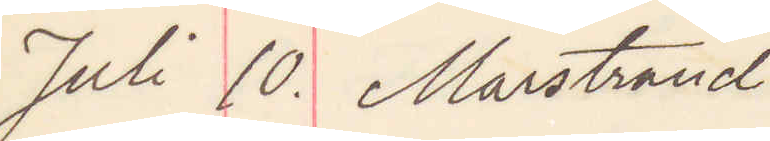Juli 10. Marstrand
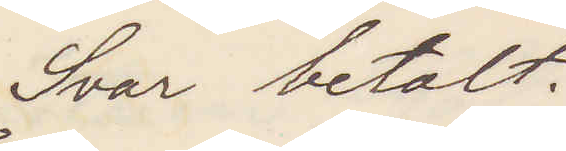Svar betalt.
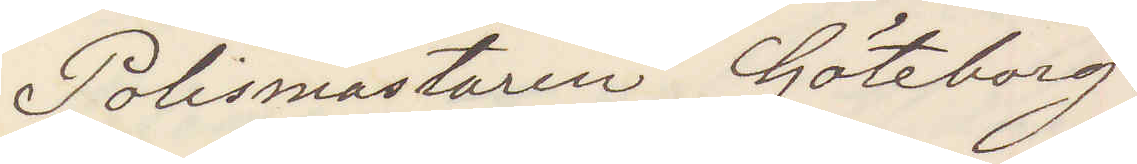Polismästaren Göteborg.
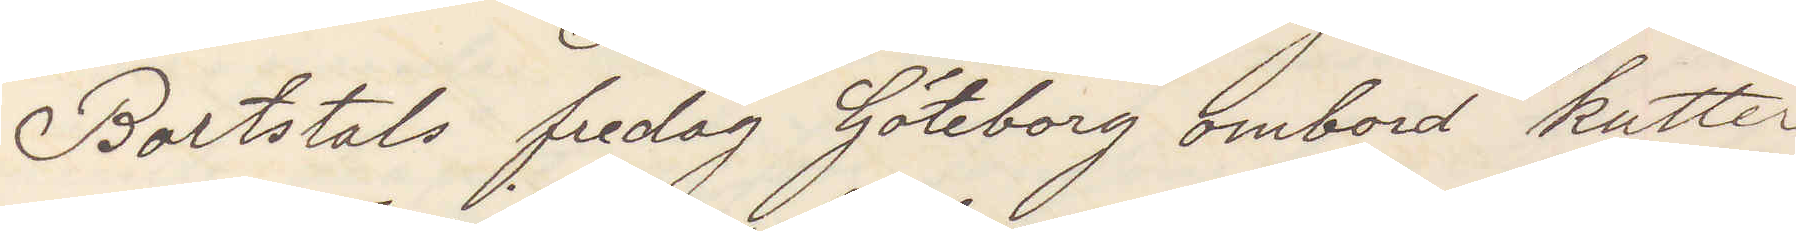Bortstals fredag Göteborg ombord kutter
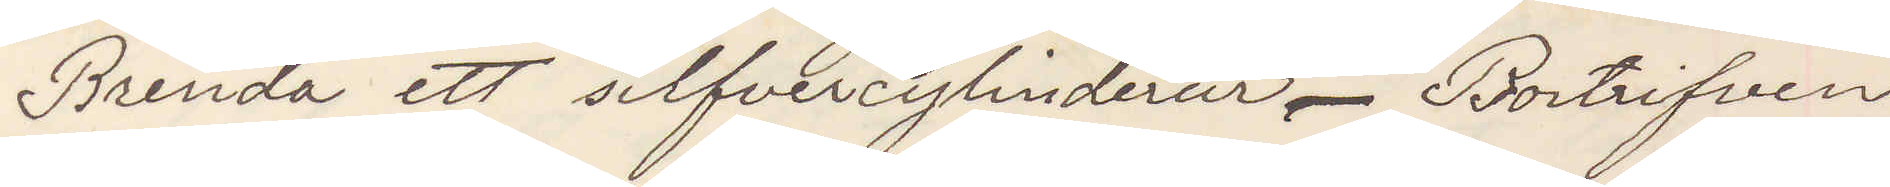Brenda ett silfvercylinderur. Bortrifven
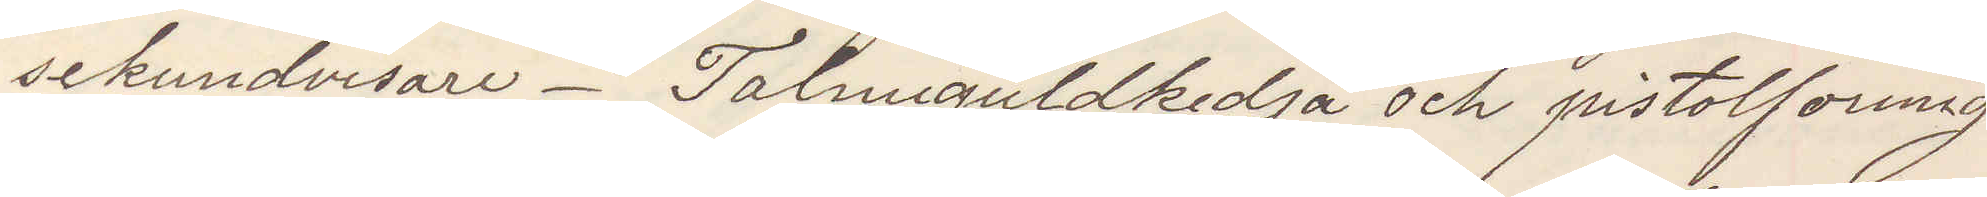sekundvisare. Talmiguldkedja och pistolformig
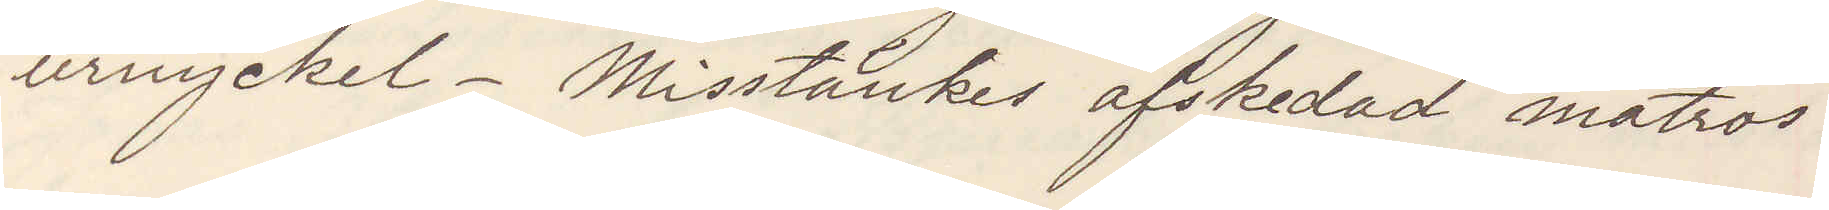urnyckel. Misstänkes afskedad matros.
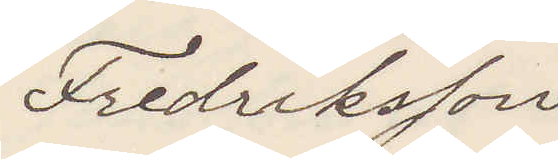Fredriksson
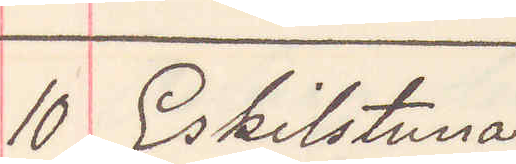10 Eskilstuna
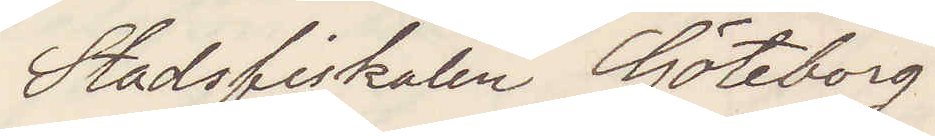Stadsfiskalen Göteborg
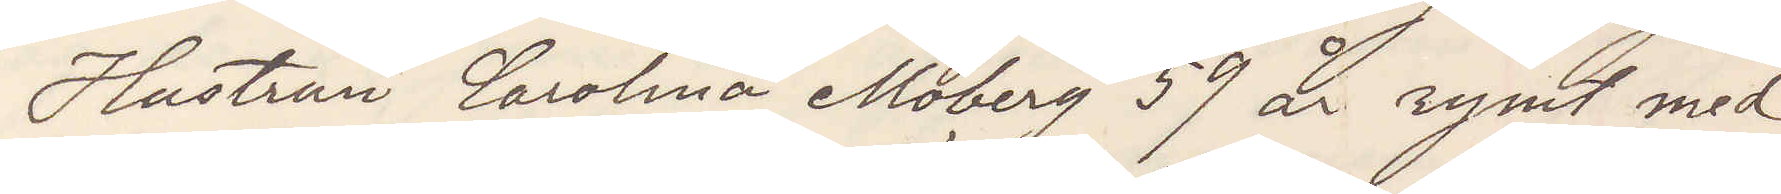Hustrun Carolina Moberg 59 år rymt med
